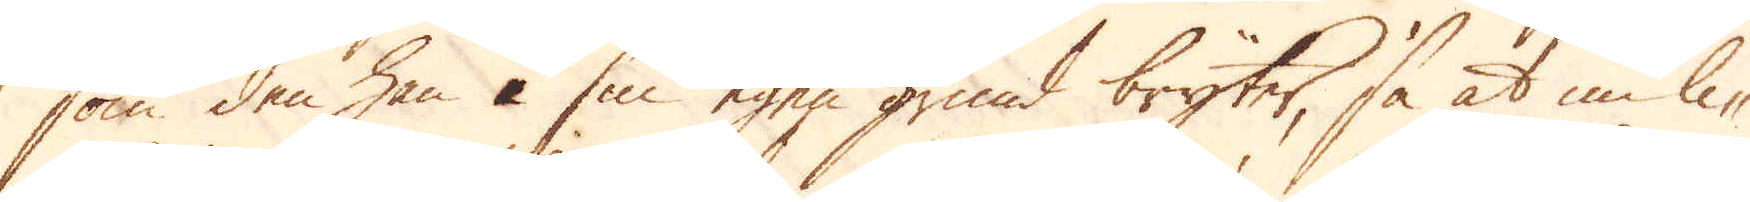som den han å sin egen grund bryter, så at nu li-
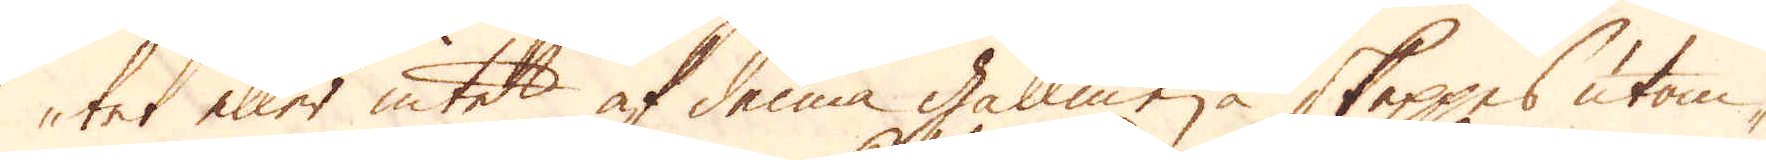tet eller intet af denna gallmeja skeppes utom-
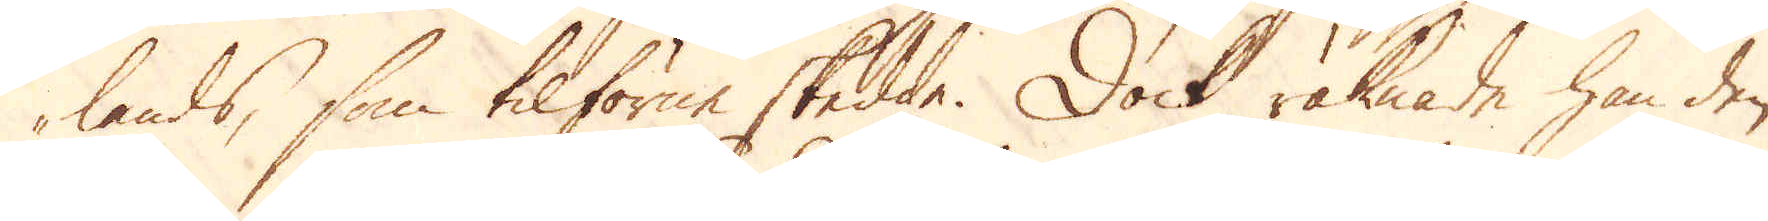lands, som tilförne skedde. Dock räknade han den
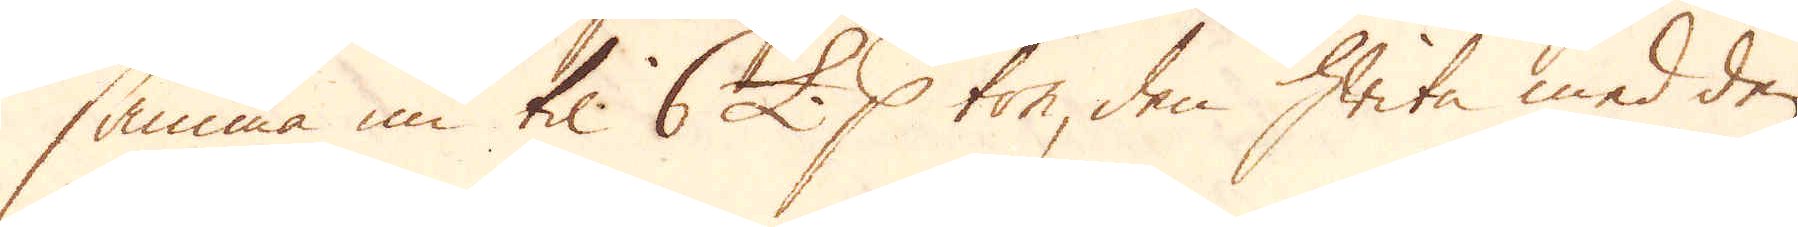samma nu til 6 £. p ton, den hwit med den
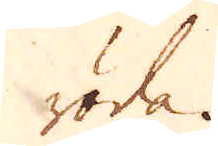röda.
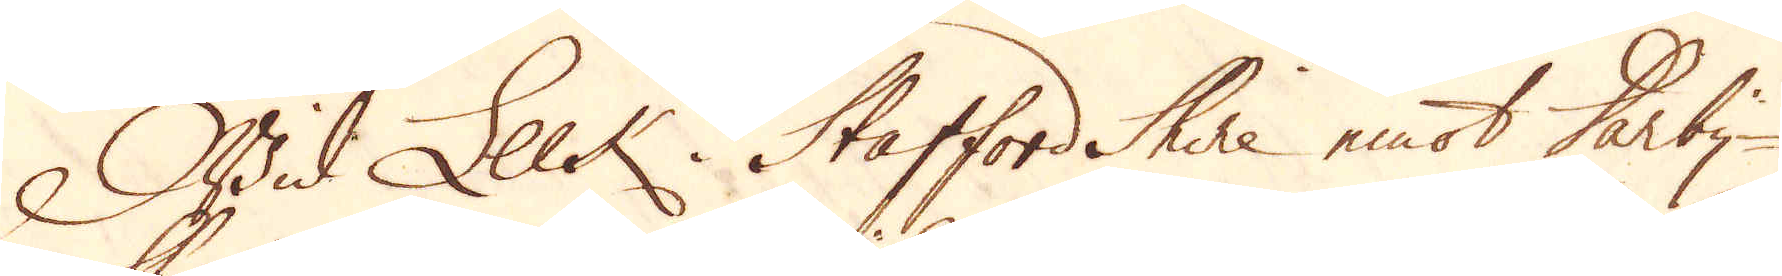Wid Leck i Stafford Shire emot Derby-
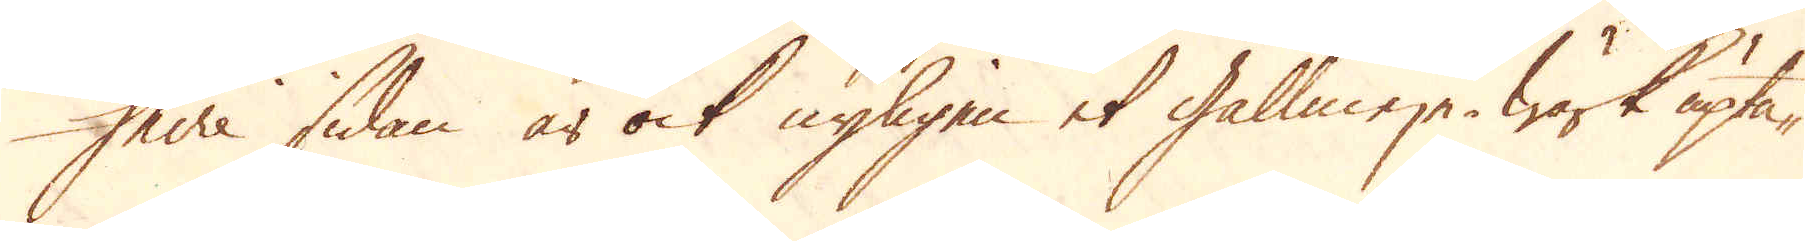shire sidan är ock nyligen et gallmeje-Wärk upta-
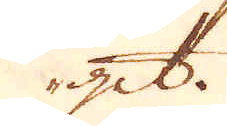git.
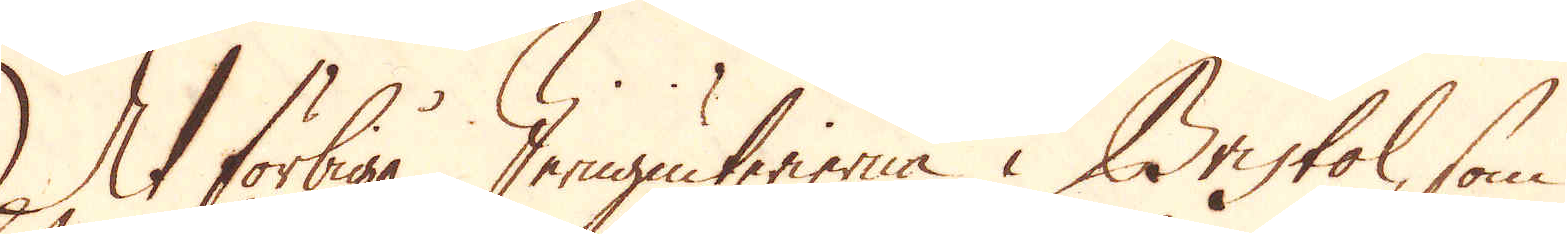At förbigå Jerngiuterierna i Bristol, som
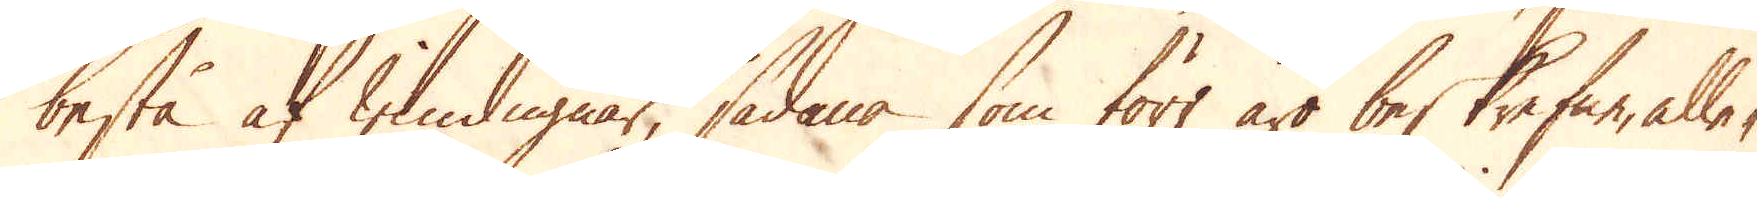bestå af windugnar, sådana som förr äro beskrefne, alle-
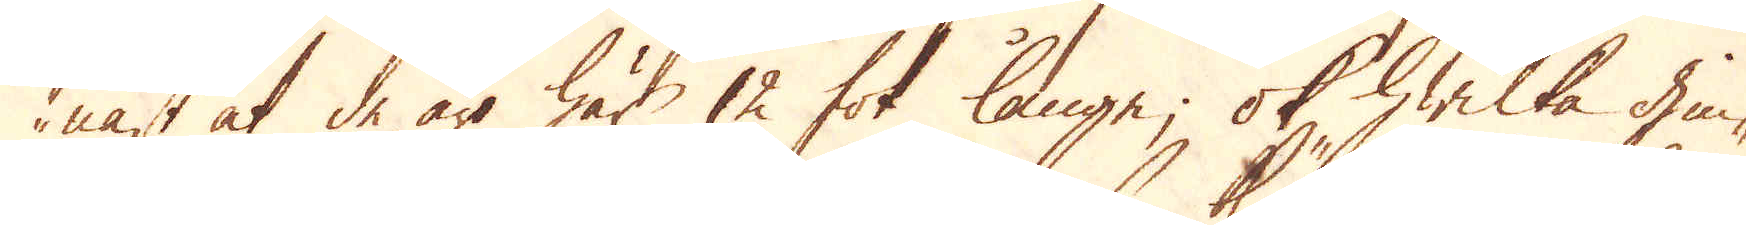nast at de äro här 12 fot länge; ok hwilka hin-
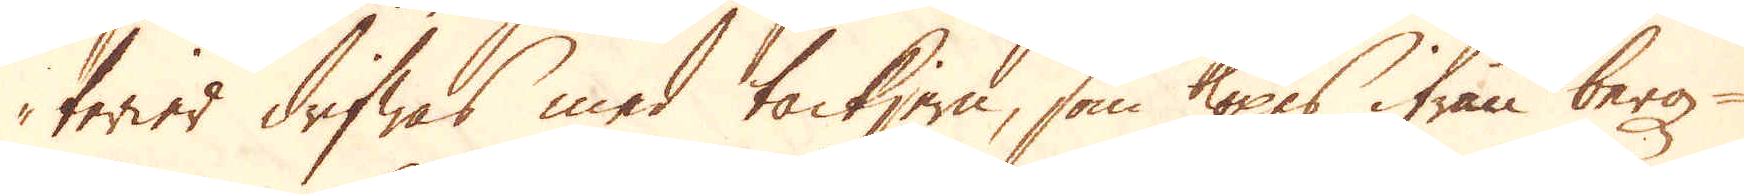terier drifwas med tackjern, som köpes ifrån berg-
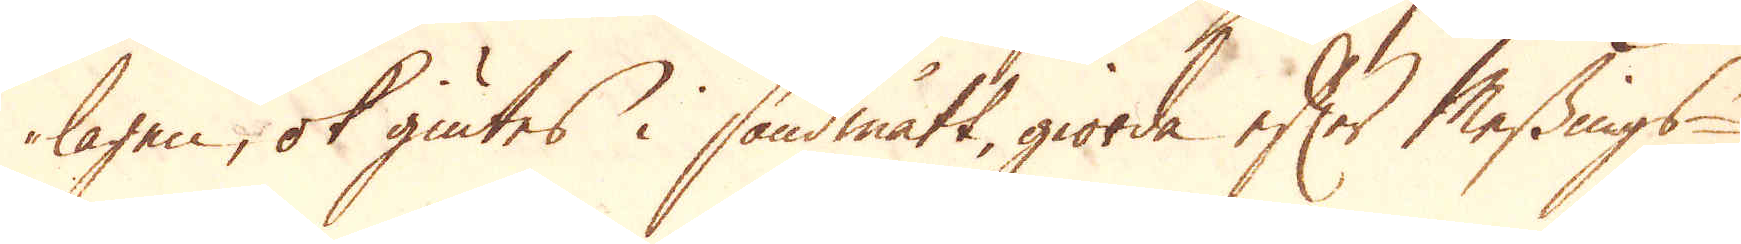lagen, ok giutes i sandmått, giorda efter Messings-
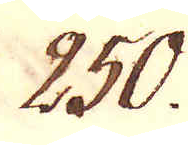250.
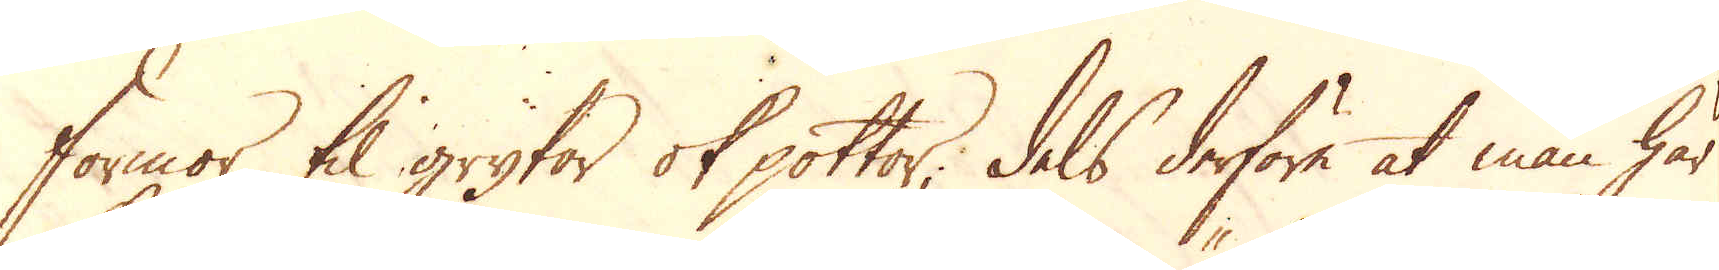formor, til grytor ok pottor, dels derföre at man här
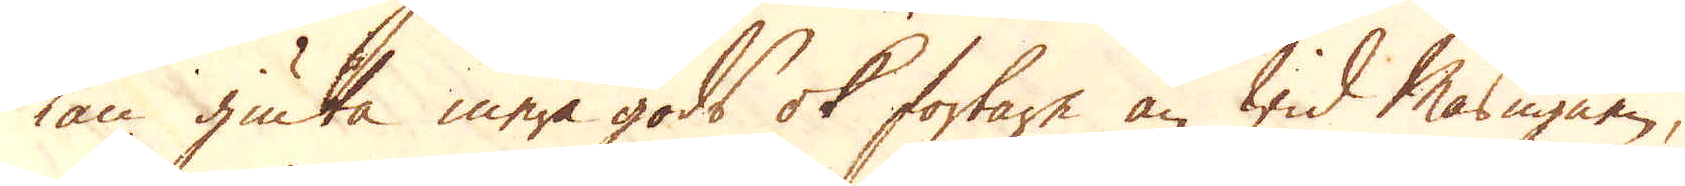kan giuta mera gods ok fortare än wid Masugnen,
